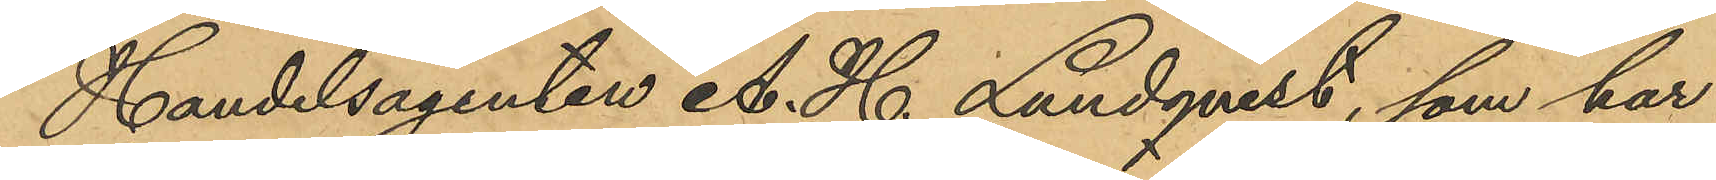Handelsagenten A. H. Lundqvist, som har
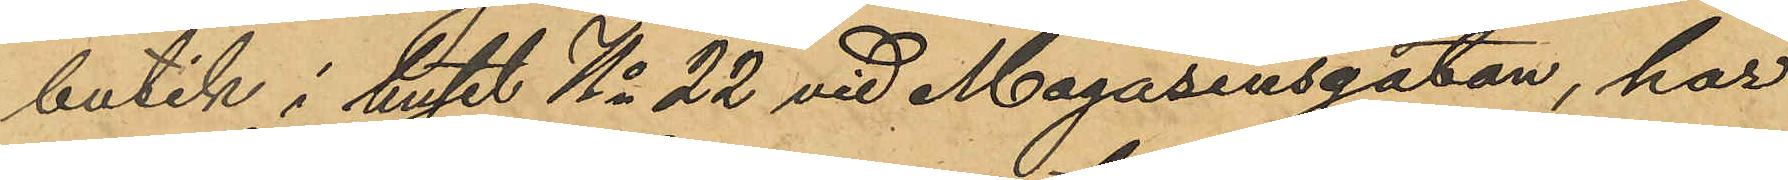butik i huset No 22 vid Magasinsgatan, har
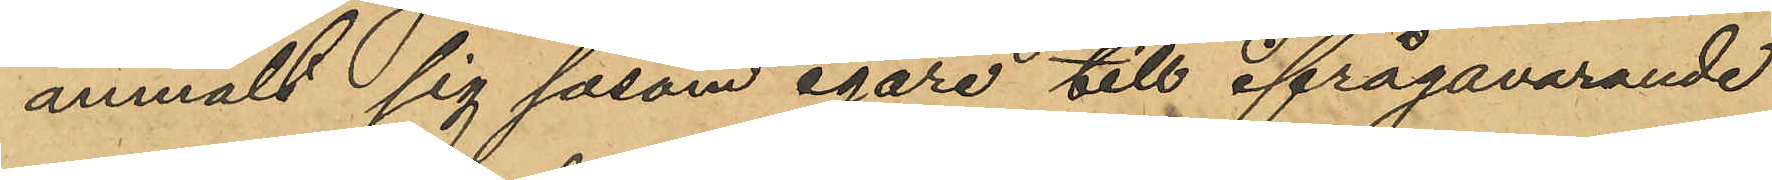anmält sig såsom egare till ifrågavarande
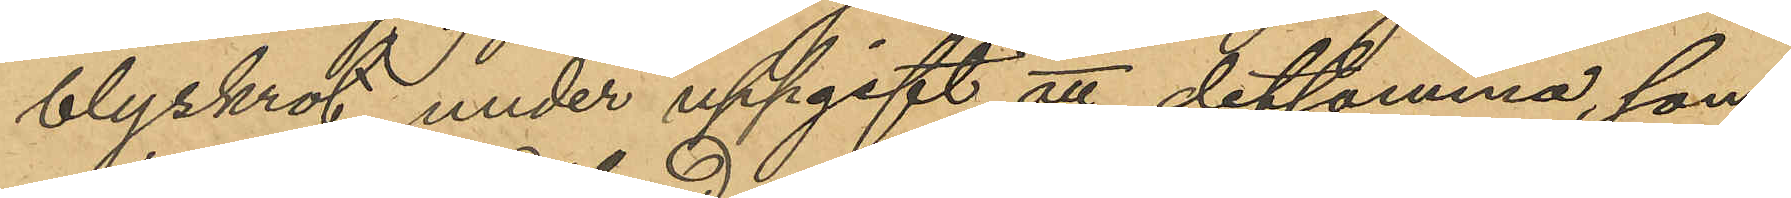blyskrot under uppgift att detsamma som
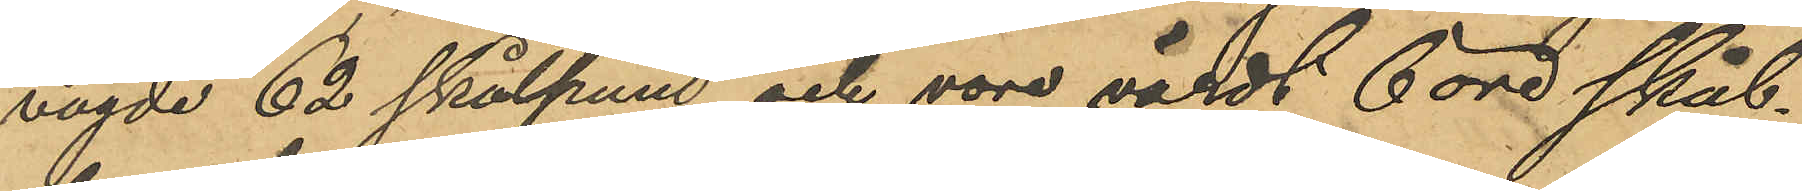vägde 62 skålpund och vore värdt 6 öre skål¬
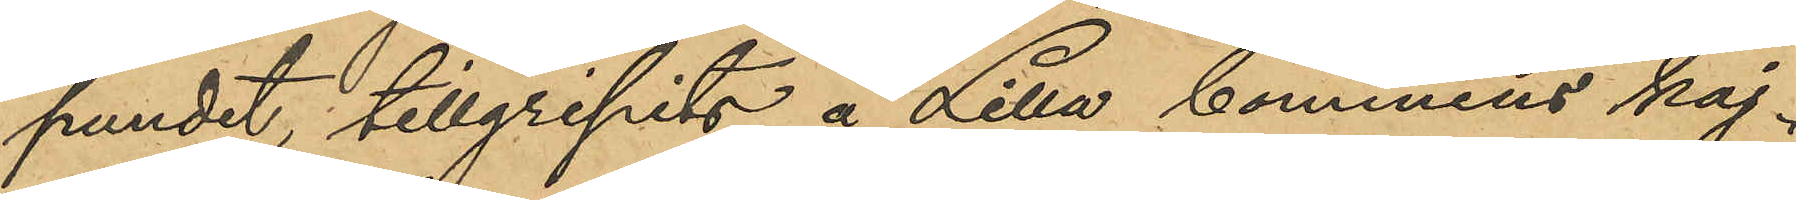pundet, tillgripits å Lilla bommens kaj.
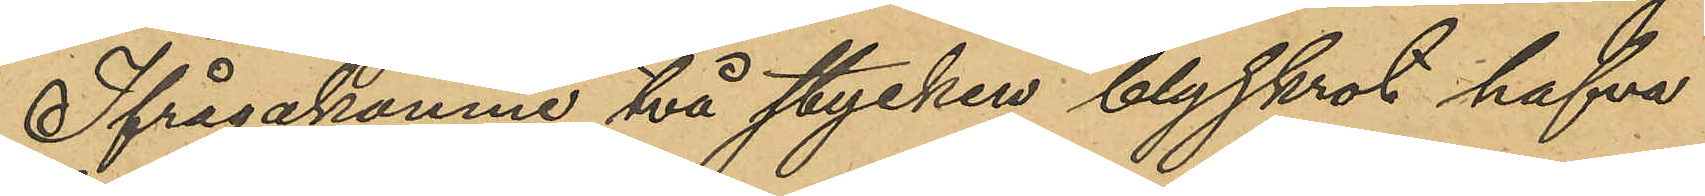Ifrågakomne två stycken blyskrot hafva
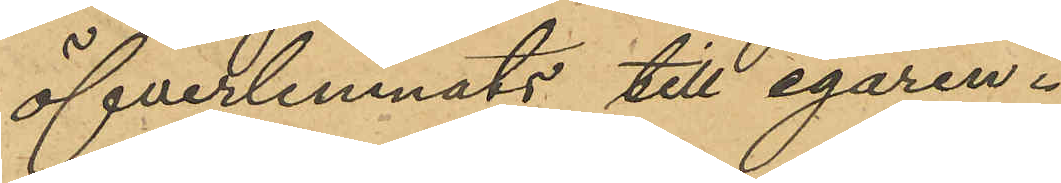öfverlemnats till egaren.
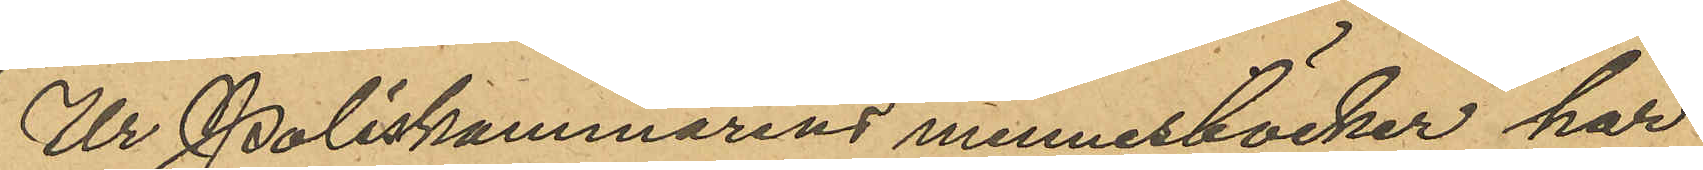Ur Poliskammarens minnesböcker har
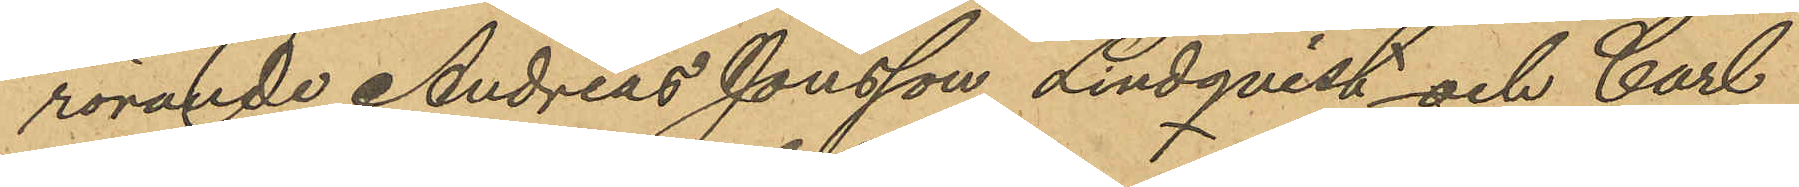rörande Andreas Jonsson Lindqvist och Carl
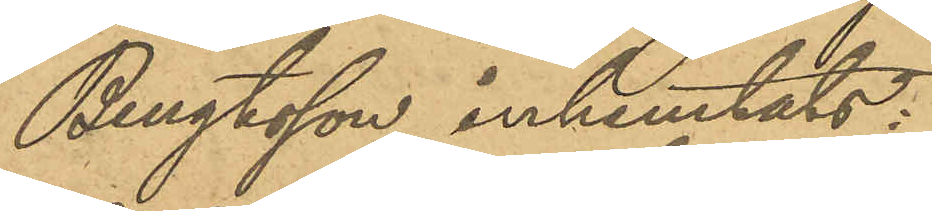Bengtsson inhemtats:
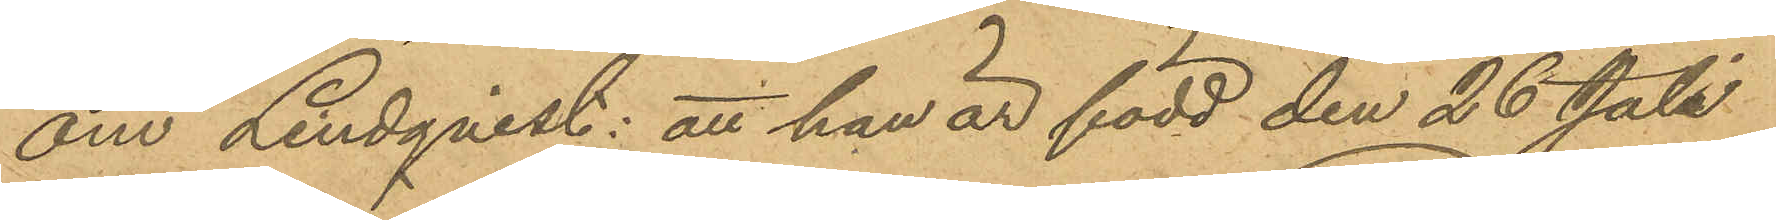om Lindqvist: att han är född den 26 Juli
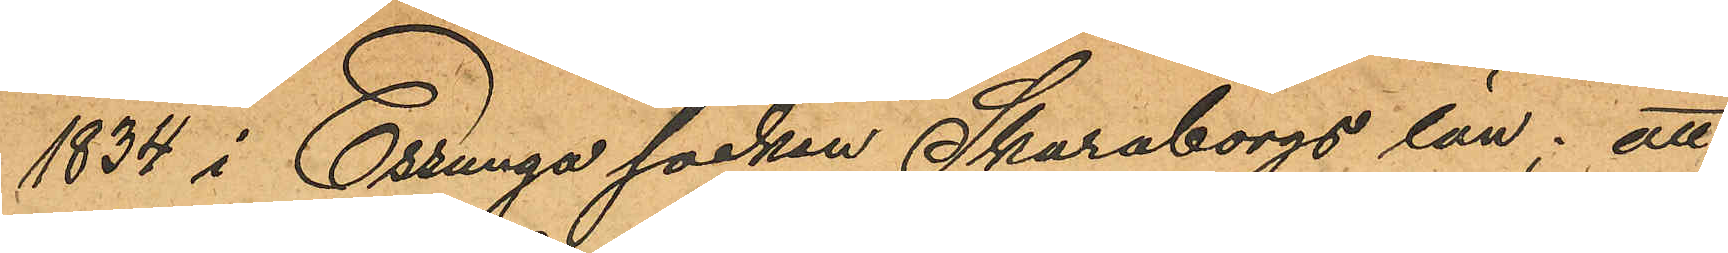1834 i Essunga socken Skaraborgs län; att
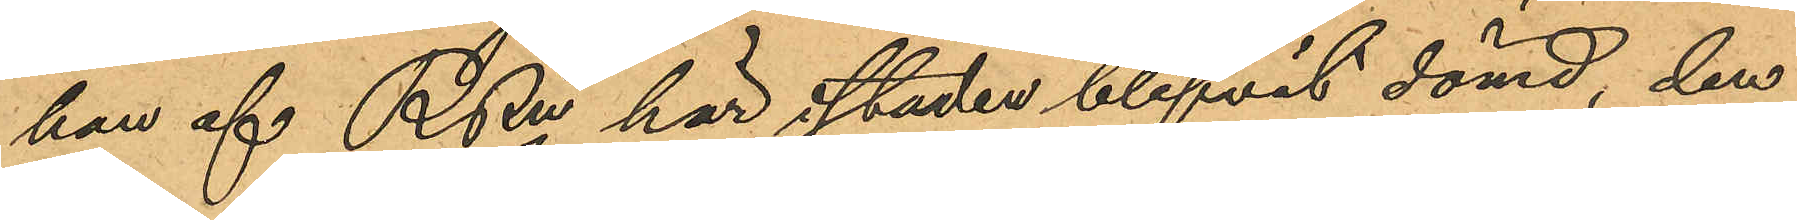han af RRn här i staden blifvit dömd, den
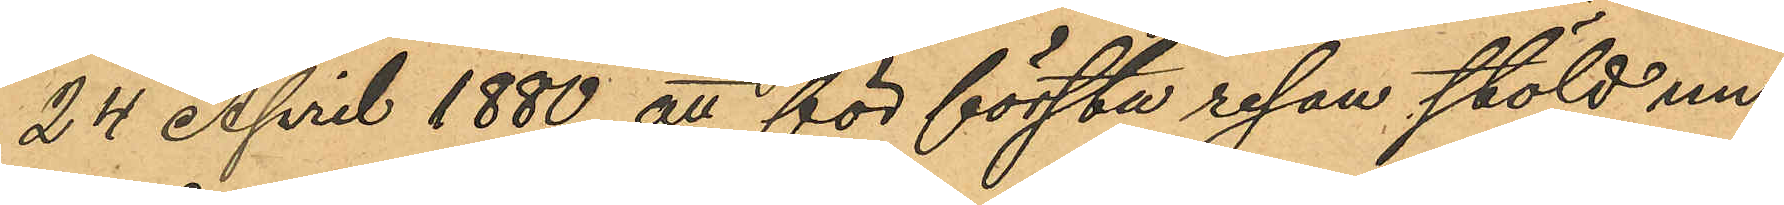24 April 1880 att för första resan stöld un¬
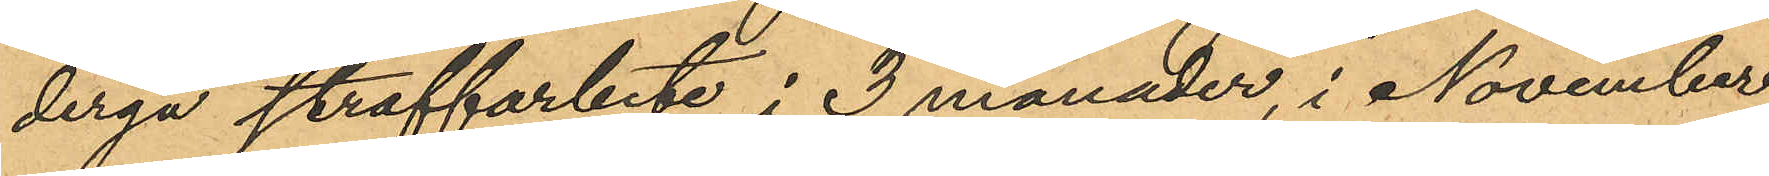dergå straffarbete i 3 månader, i November
